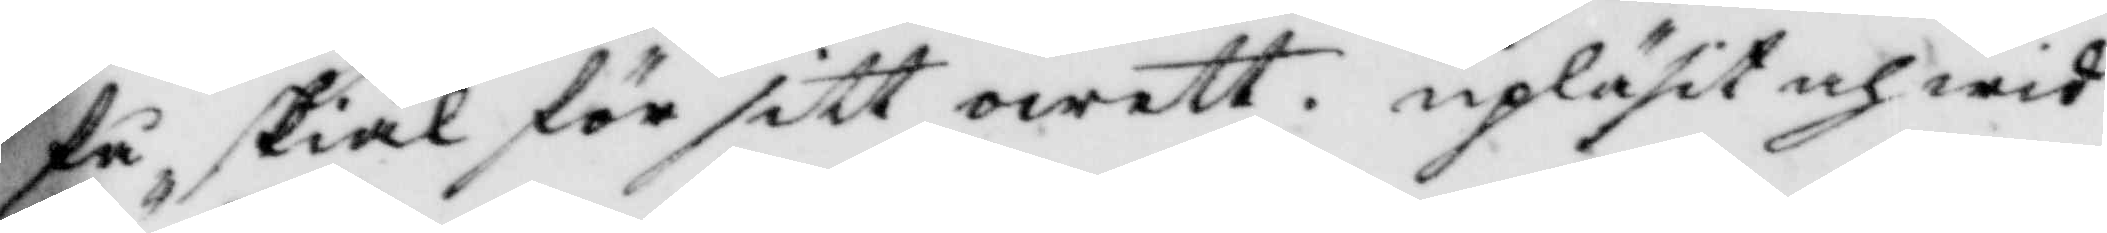få skiäl för sitt owett. upläst och wid¬
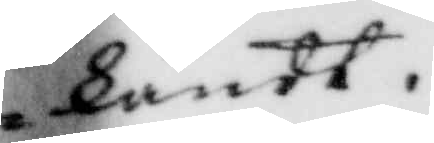kändt.
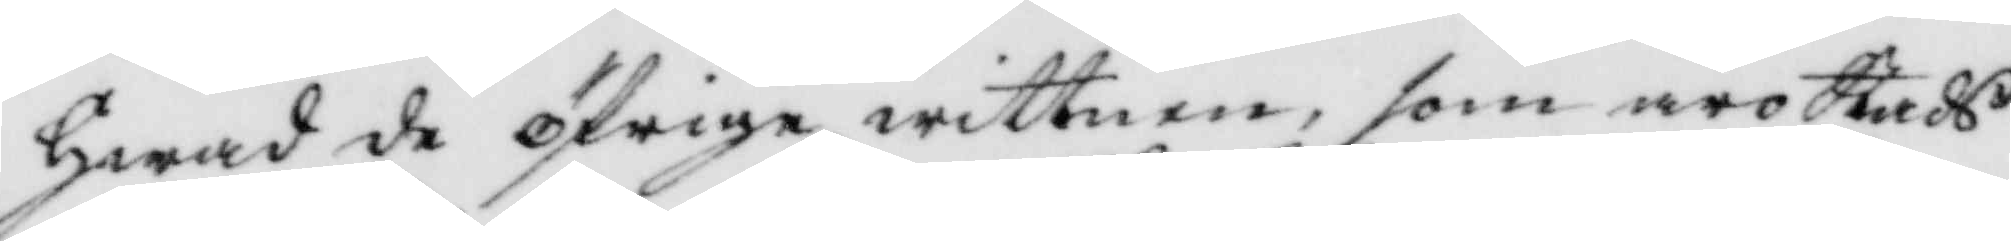Hwad de öfrige wittnen, som äro Stads¬
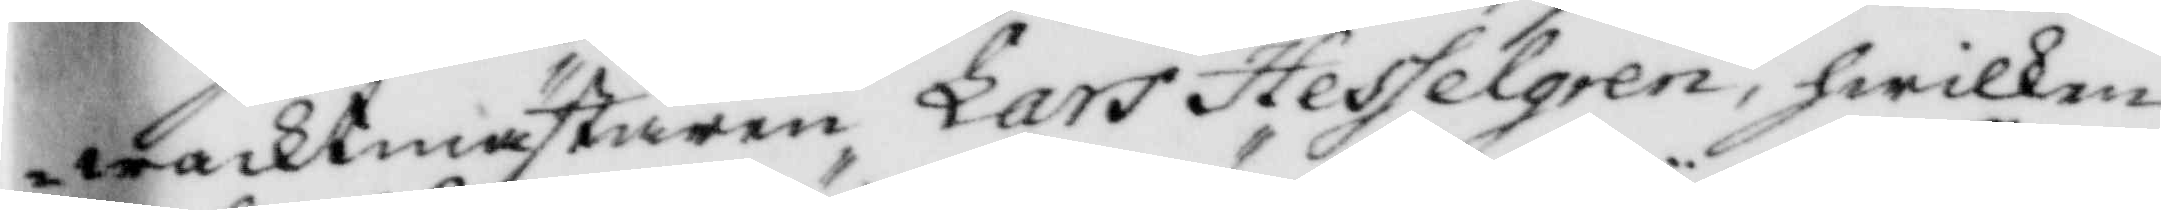wacktmästaren Lars Hesselgren, hwilken
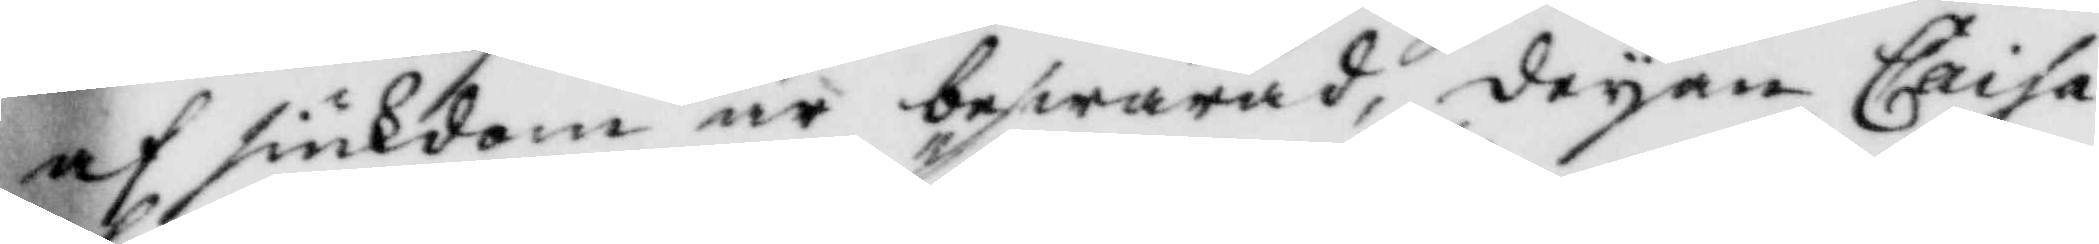af siukdom är beswärad, deyan Caisa
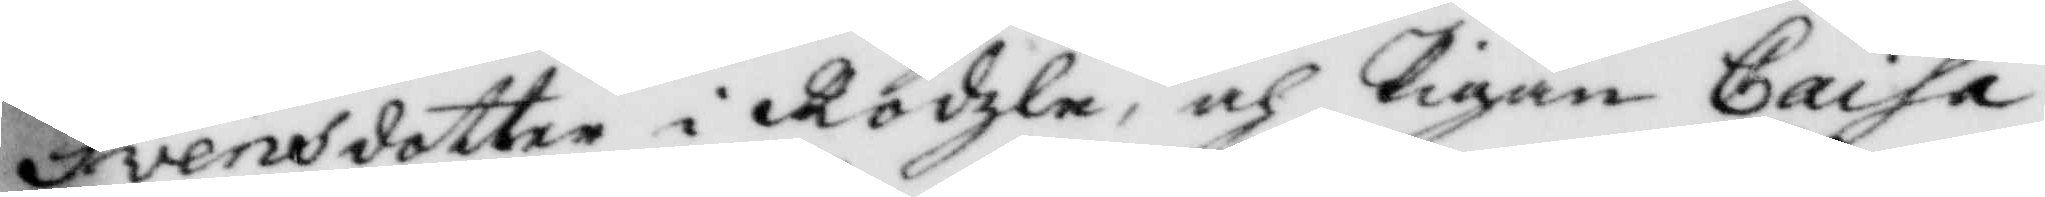Svensdotter i Rödzle, och pigan Caisa,
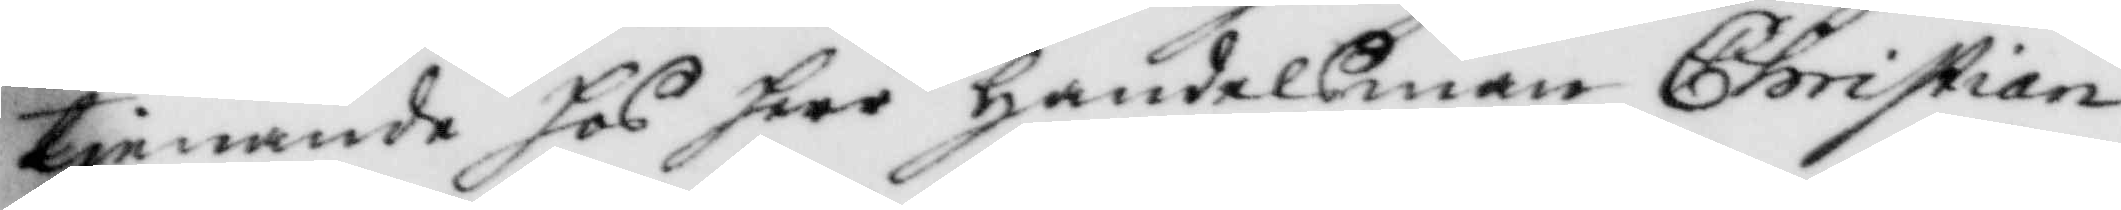tjemamde hos herr Handelsman Christian
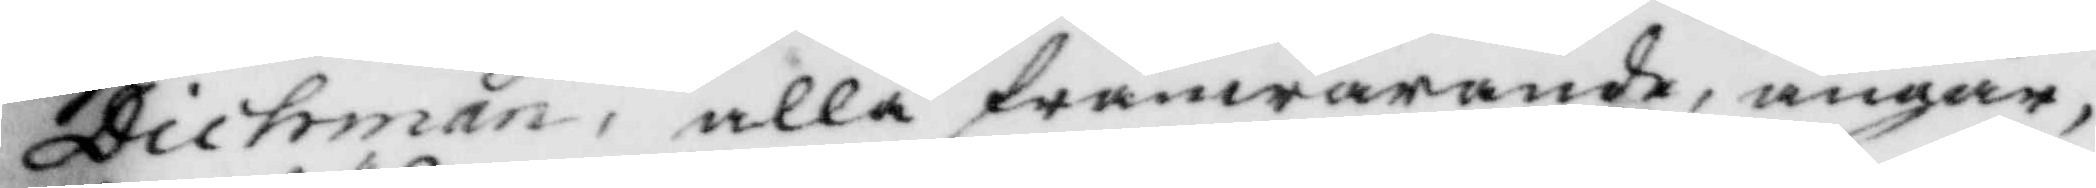Dichman, alla frånwarande, angår,
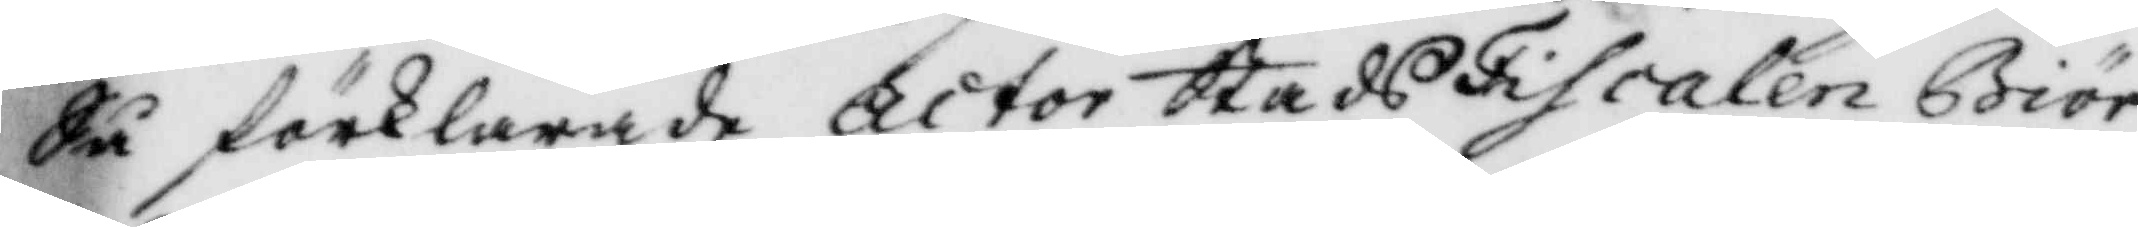Så förklarade actor StadsFiscalen Biör¬
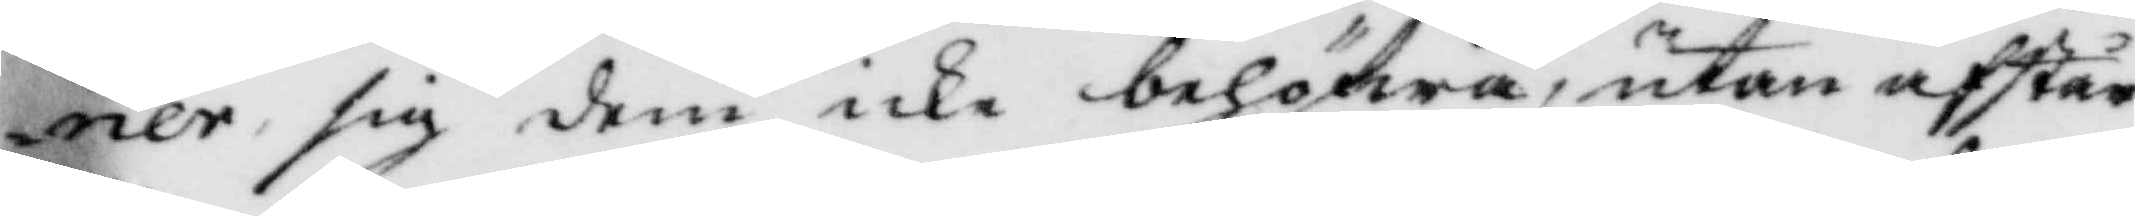ner sig dem icke behöfwa, utan afstår
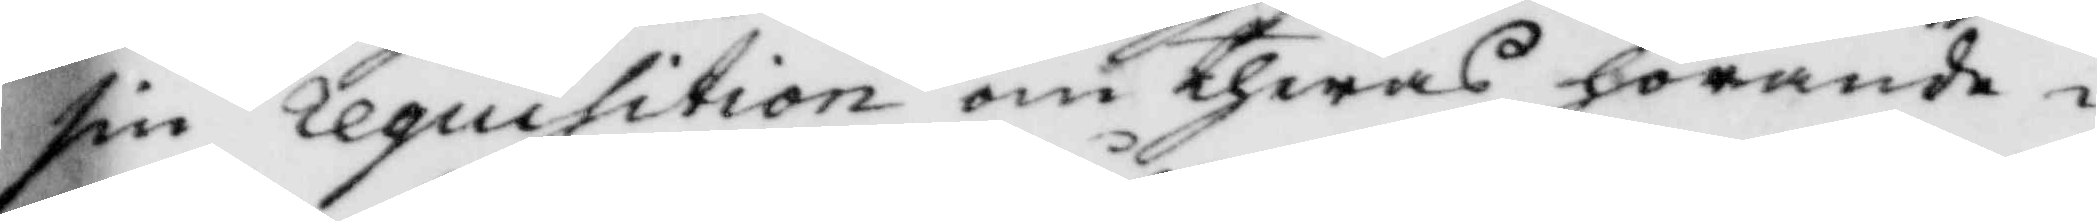sin requisition om theras hörande i
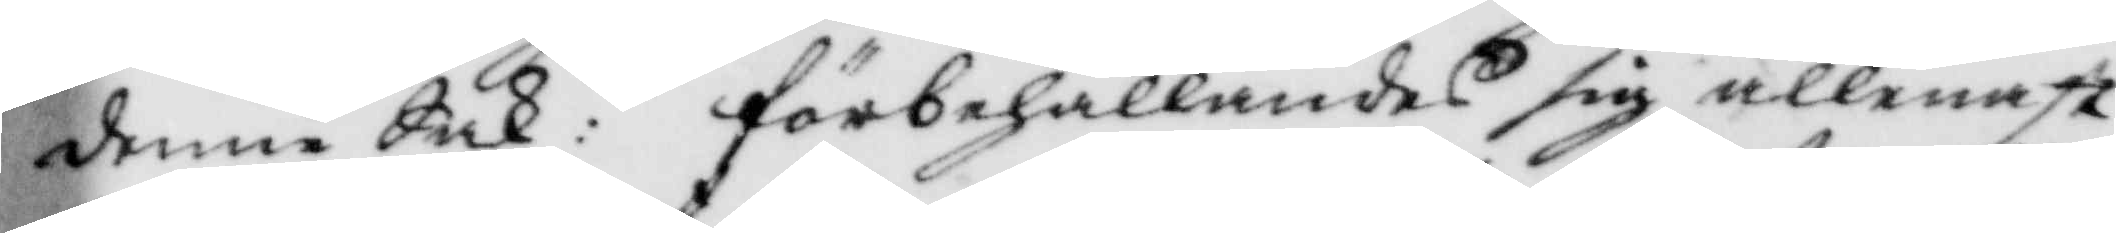denne Sak: förbehållandes sig allenast
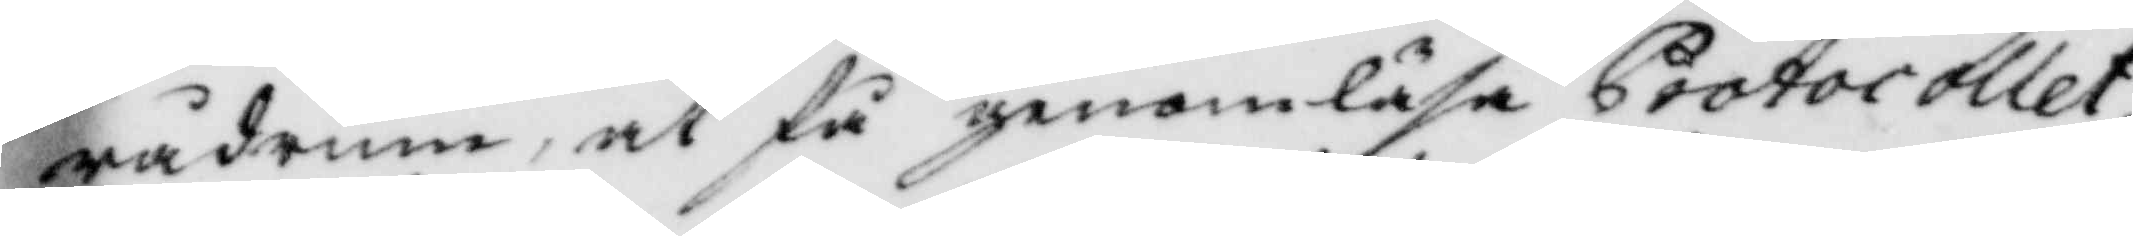rådrum, at få genomläsa Protocollet,
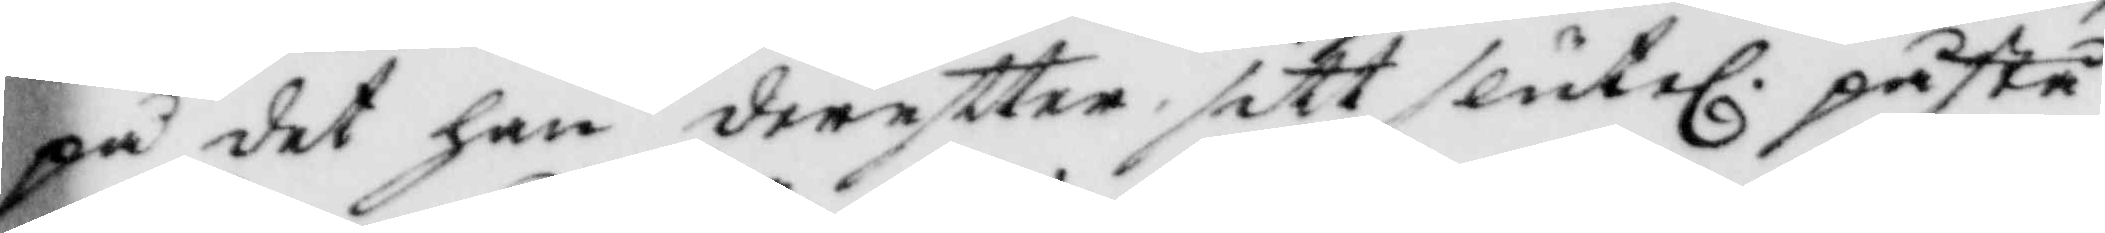på det han dereftter sitt slutel. påstå¬
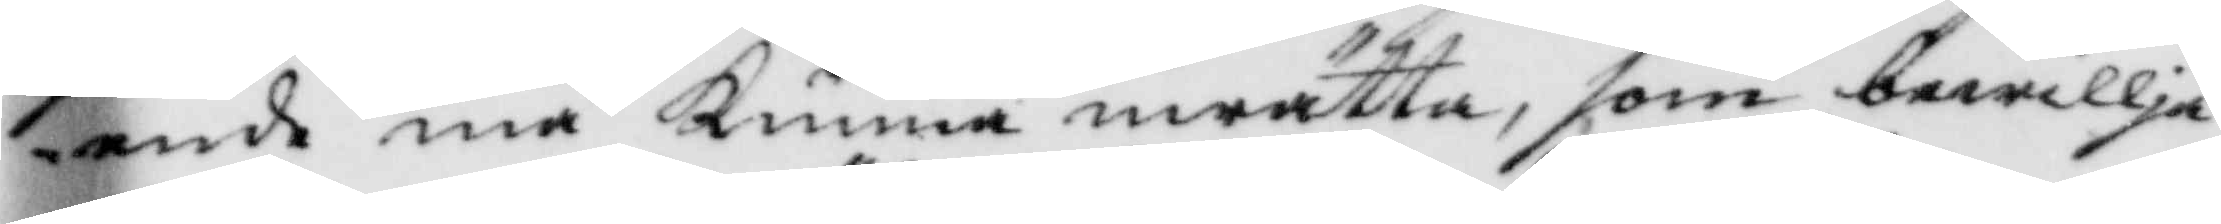ende må Kunna inrätta, som bewillja¬
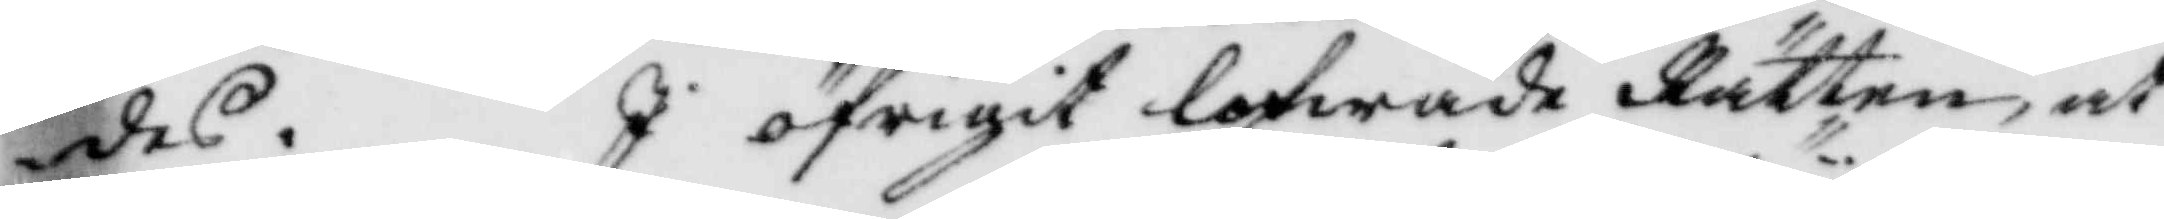des. I öfrigit lofwade Rätten, at
